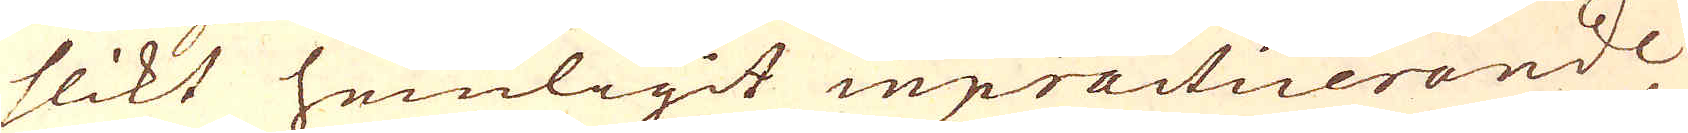slikt hemligit inpracticerande
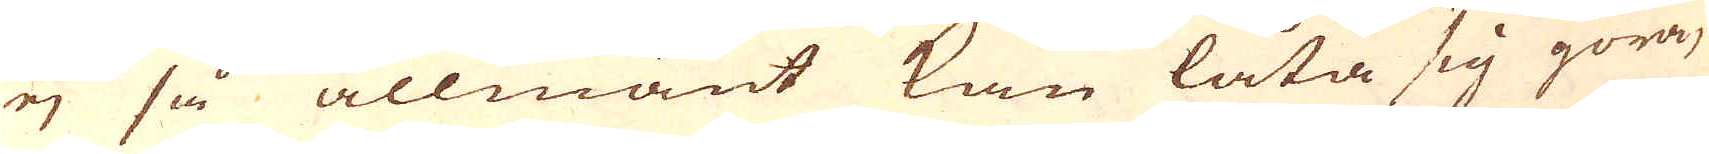ej så allmänt kan låta sig göra,
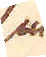så
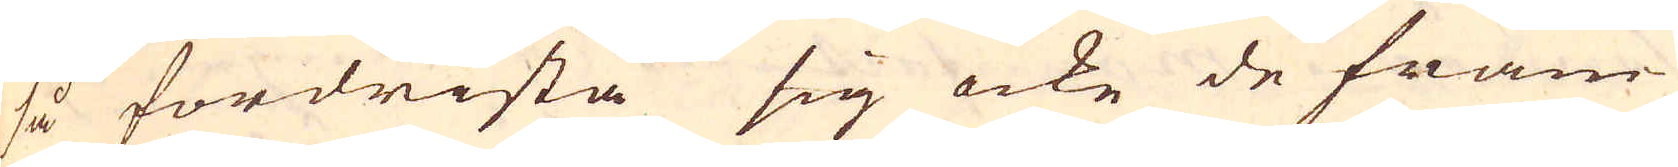så fördrista sig icke de främ-
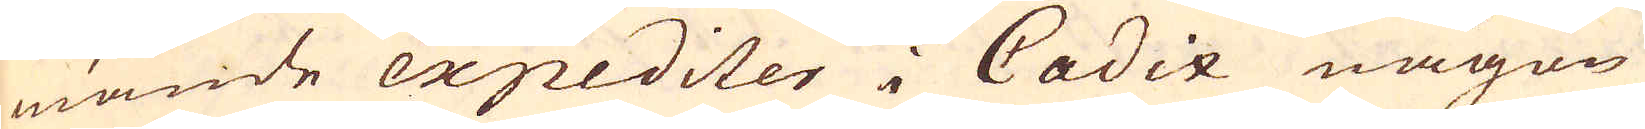mande expediter i Cadix någon
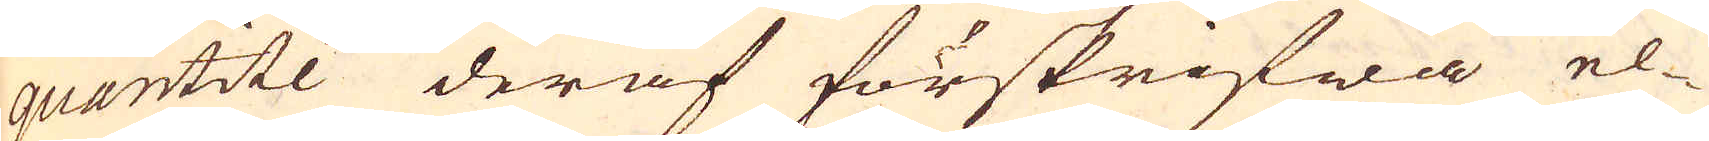quantité deraf förskrifwa el-
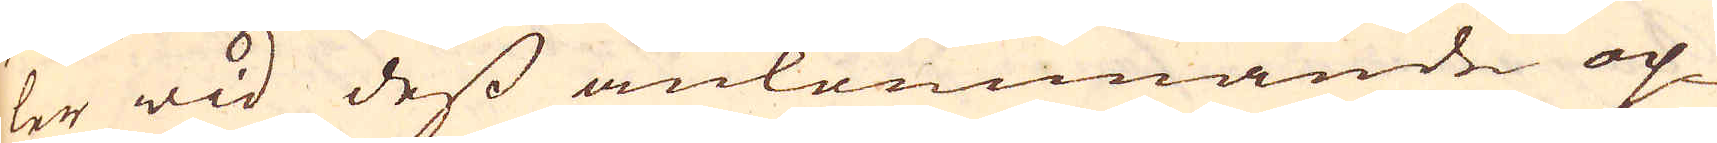ler wid dess ankommande op-
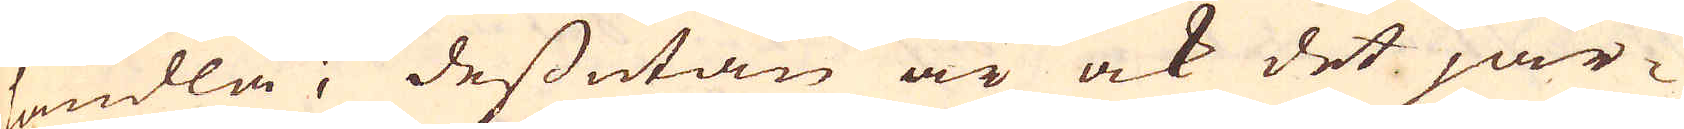handla; dessutan är ock det jär-
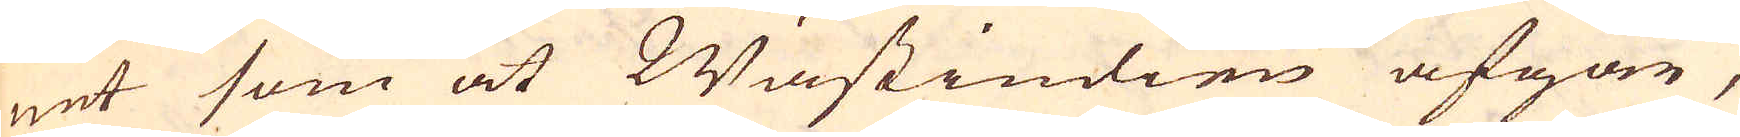net som at Wästindien afgår,
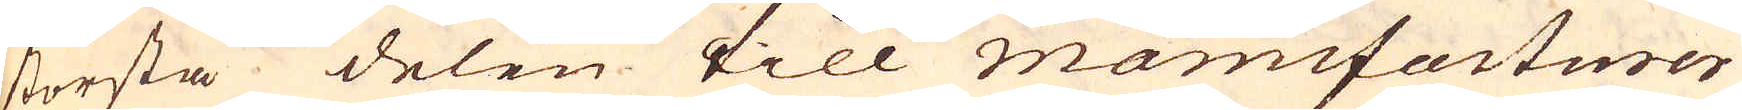största delen till manufacturer
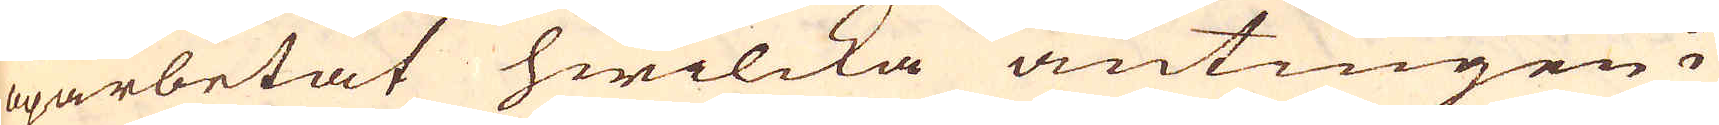oparbetat hwilcka antingen i
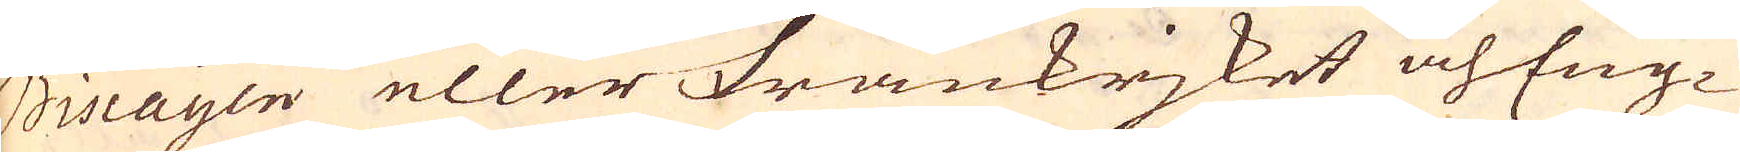Biscayen eller Frankrjket och Eng-
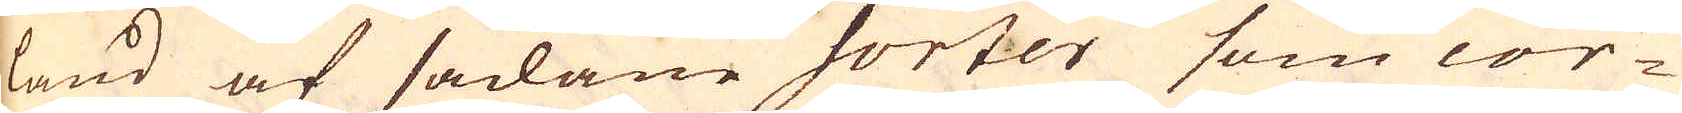land af sådane sorter som cor-
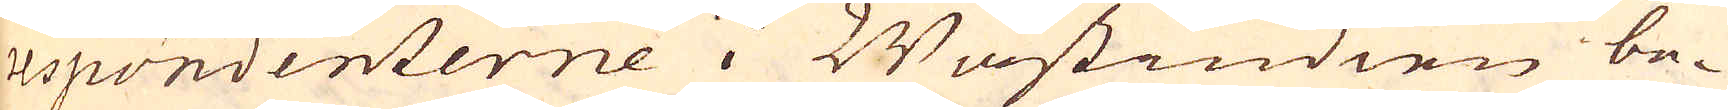respondenterne i Wästindien be-
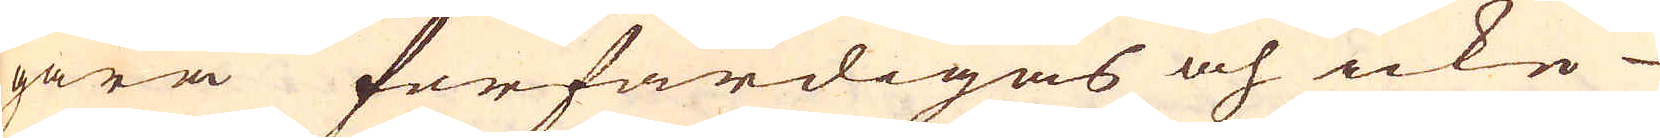gära förfärdigas och icke
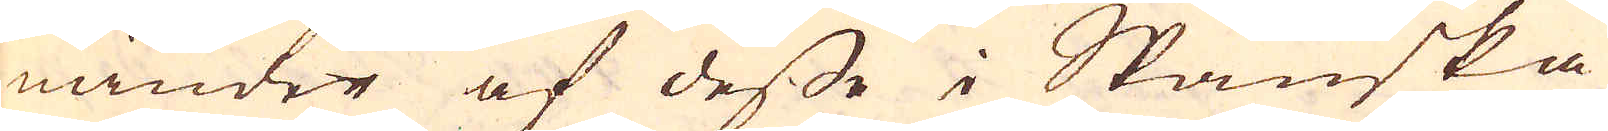mindre af desse i Spanska
